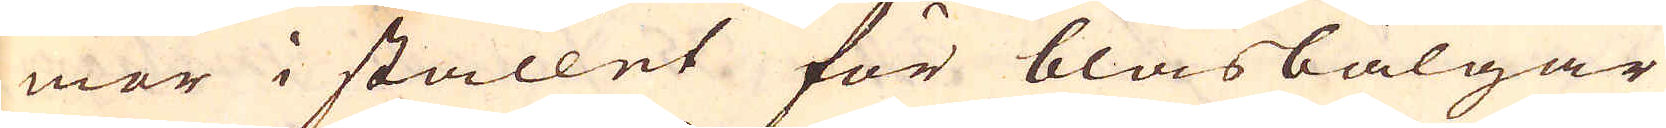mor i stället för blåsbälgar
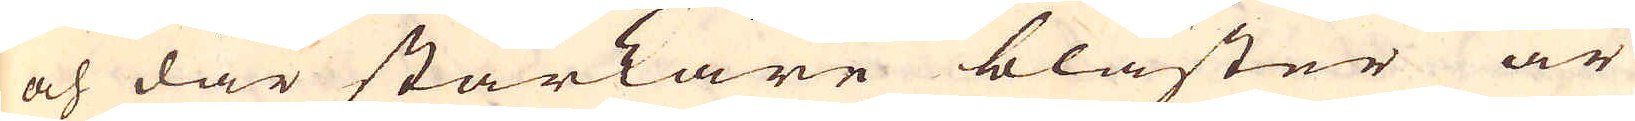och där starkare bläster är
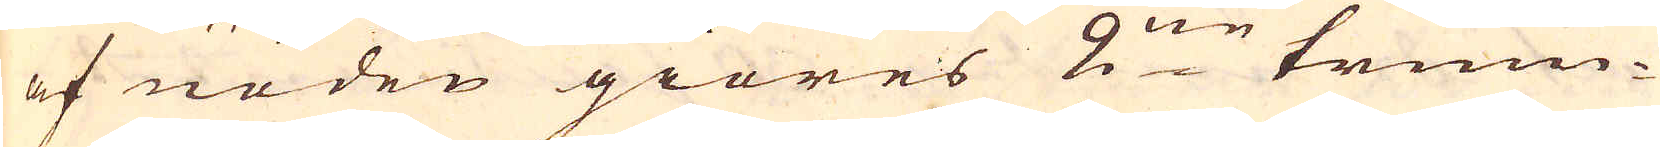af nöden giöres 2:ne trum-
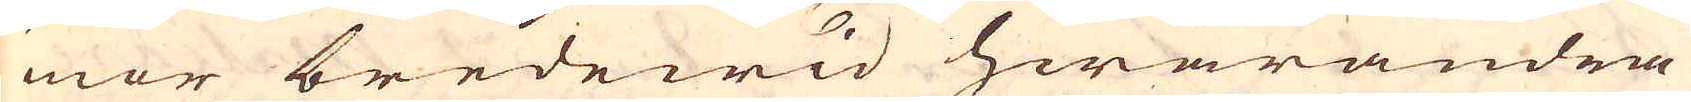mor bredewid hwarandra
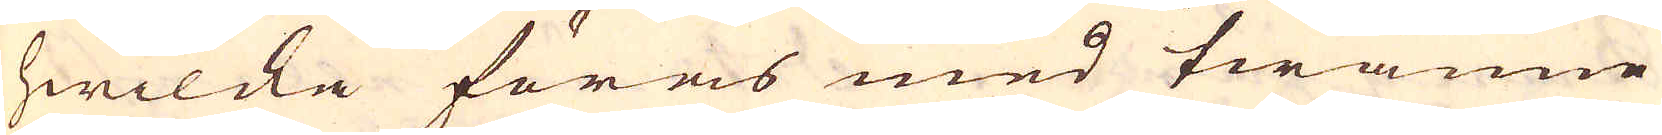hwilcka föras med twänne
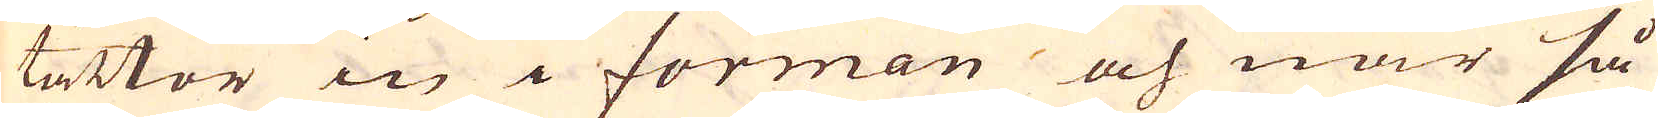tättor in i forman och när så
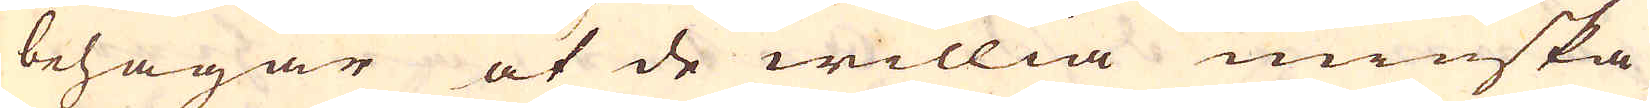behagar at de willia minska
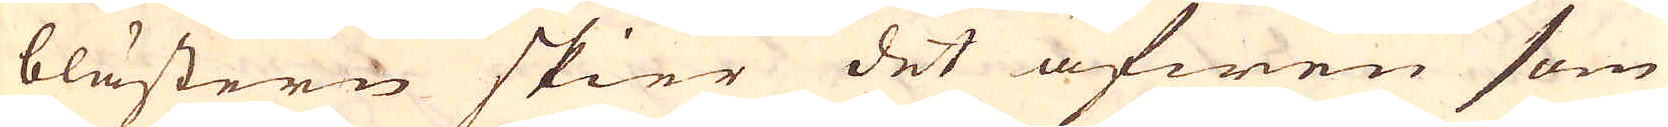blästern skier det äfwen som
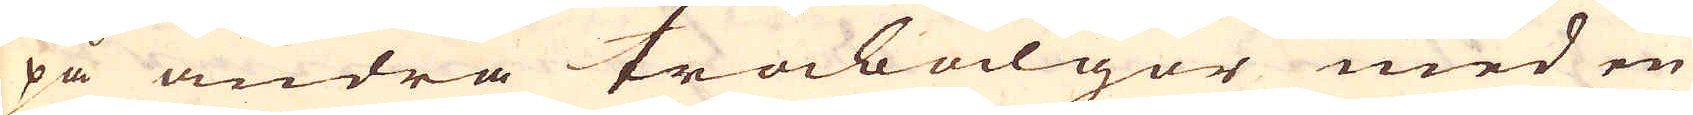på andra träbälgor med en
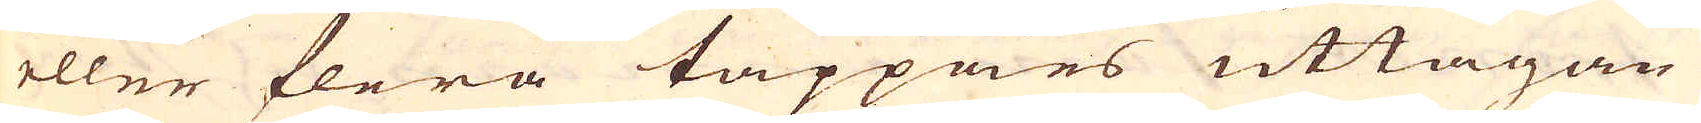eller flera tappans uttagan-
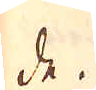de.
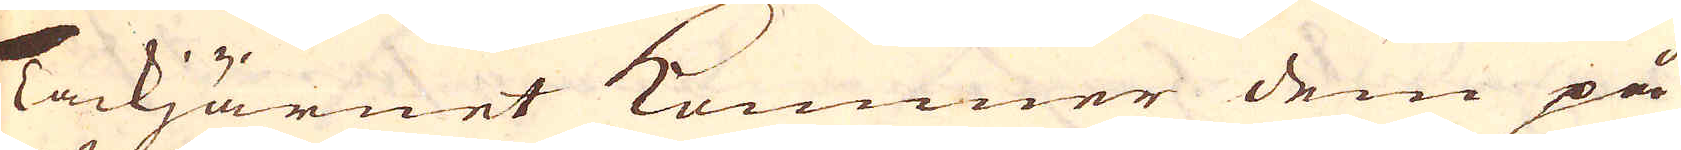Tackjärnet kommer dem på
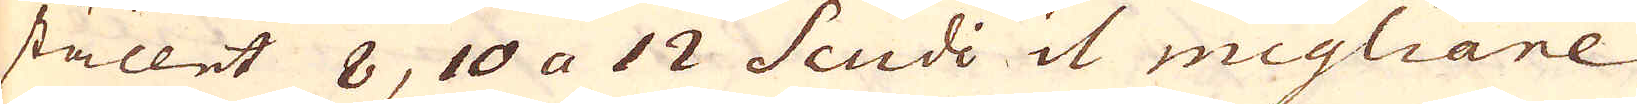stället 8, 10 a 12 Scudi il migliare
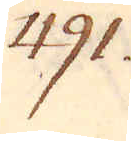491.
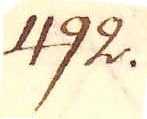492.
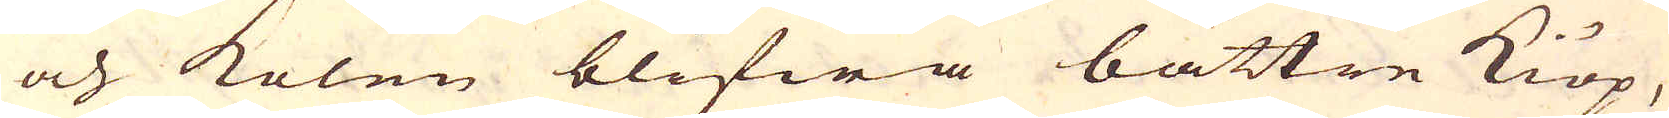och kolen blifwa bättre kiöp,
